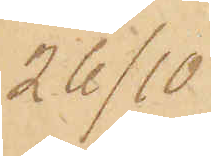26/10
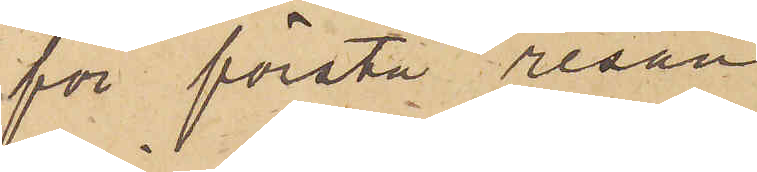för första resan
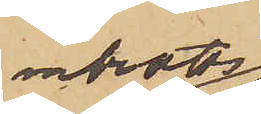inbrotts¬
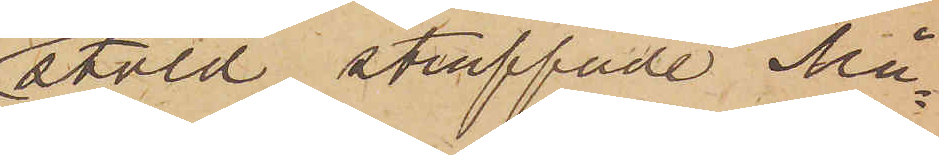stöld straffade Må¬
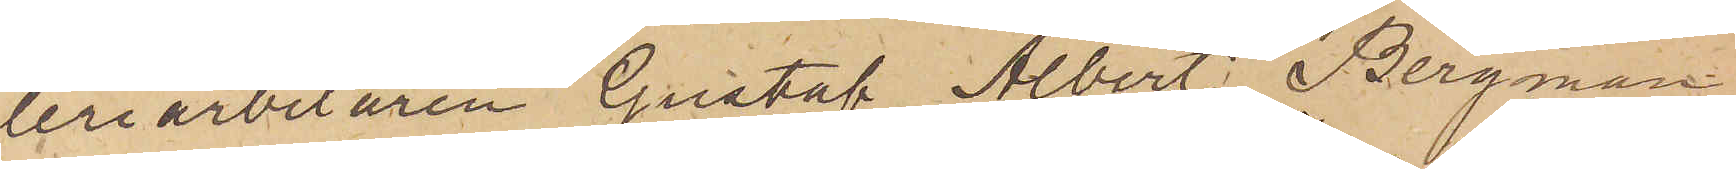leriarbetaren Gustaf Albert Bergman
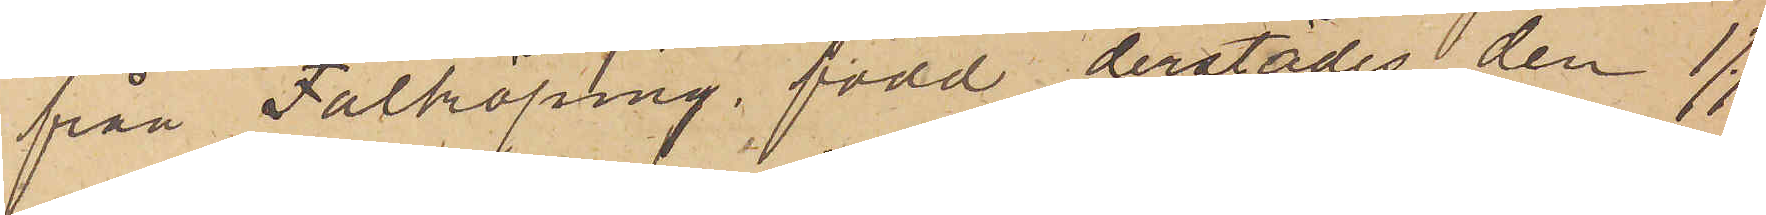från Falköping, född derstädes den 1/1
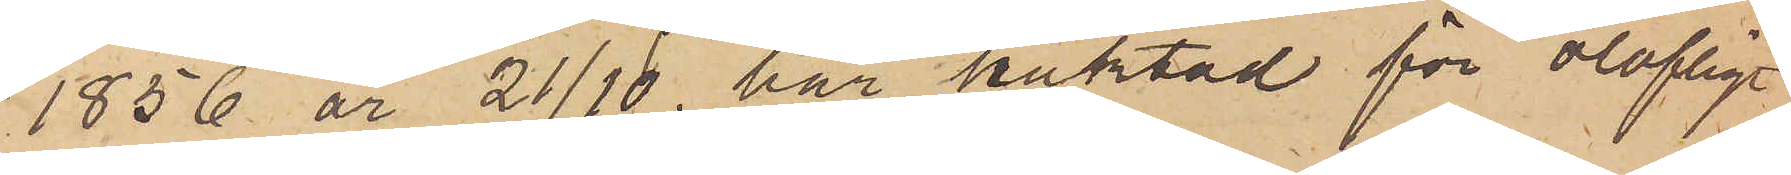1856 är 21/10 här häktad för olofligt
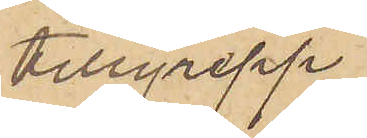tillgrepp.
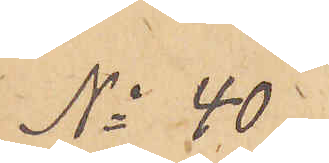No 40.
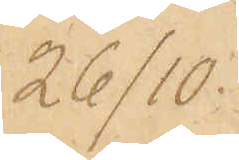26/10.
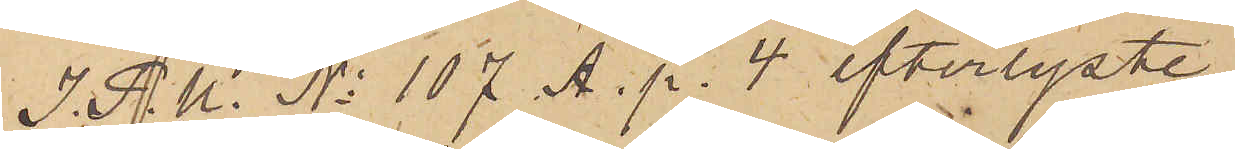I. P. U. No 107 A. p. 4 efterlyste
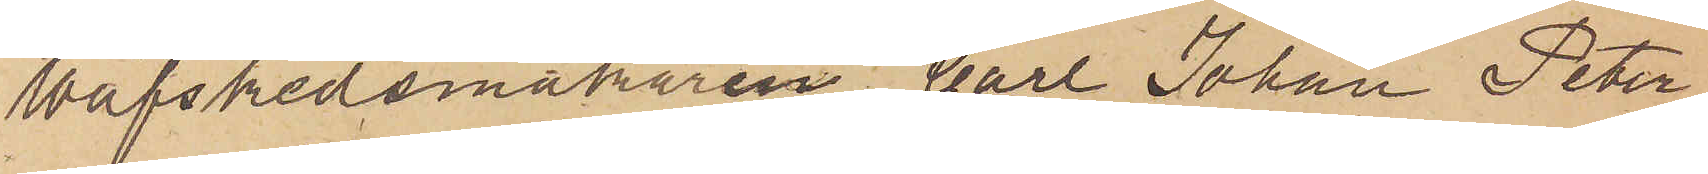Wäfskedsmakaren Carl Johan Peter
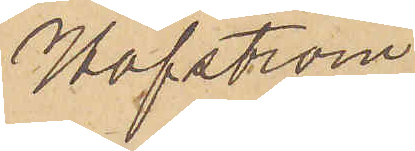Hofström
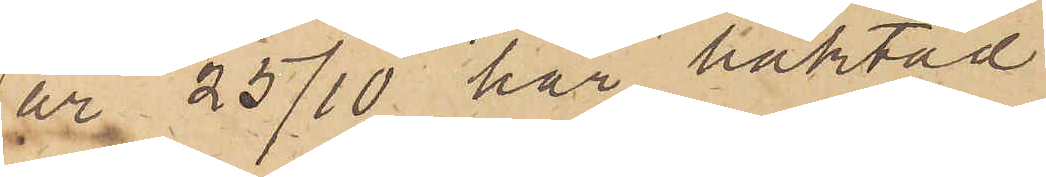är 25/10 här häktad.
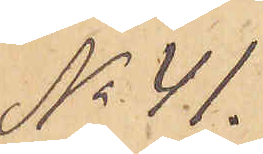No 41.
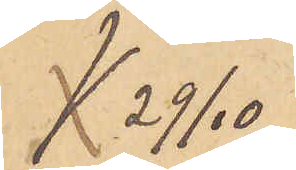 29/10
